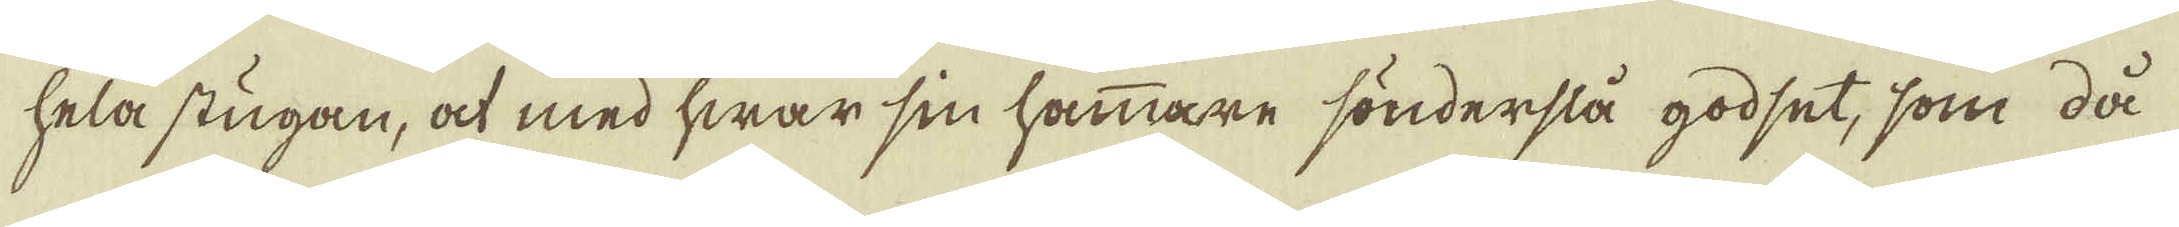hela stugan, at med hwar sin hammare sönderslå godset, som då
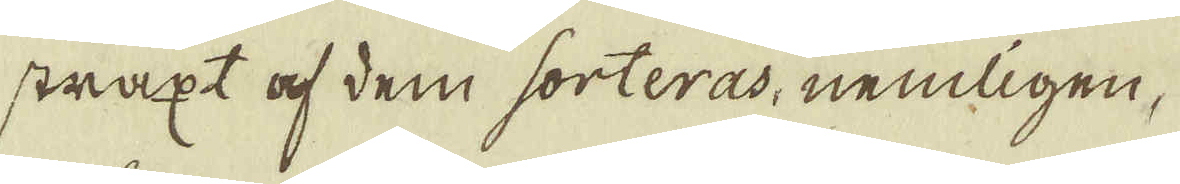straxt af dem sorteras, nemligen,
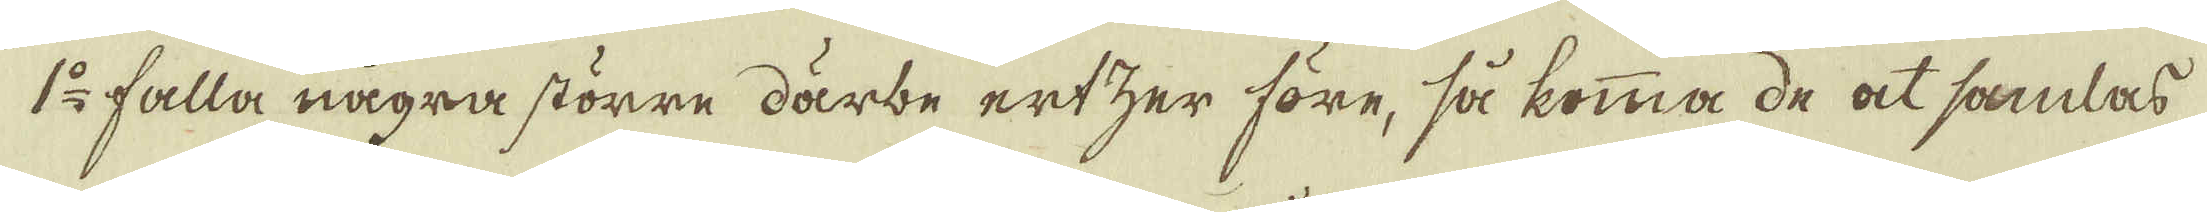1:o falla några större därbe ertzer före, så komma de at samlas
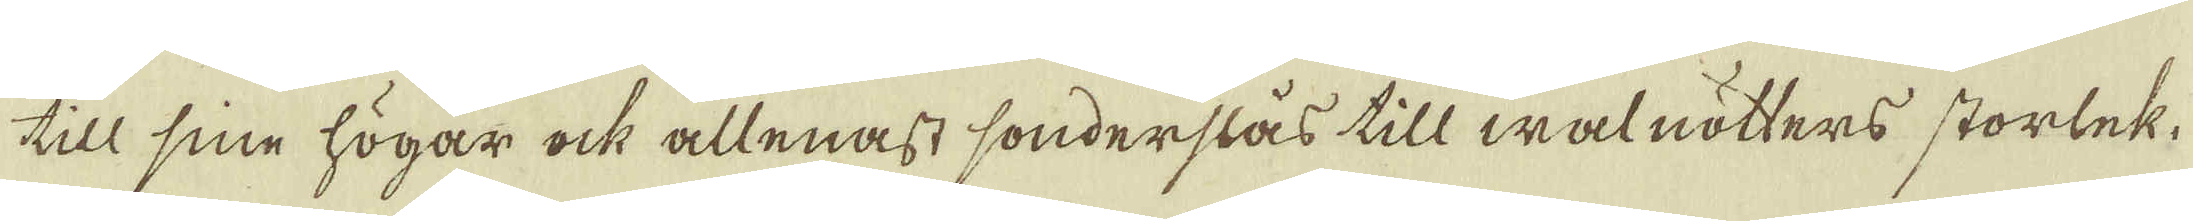till sine högar ock allenast sonderslås till walnötters storlek.
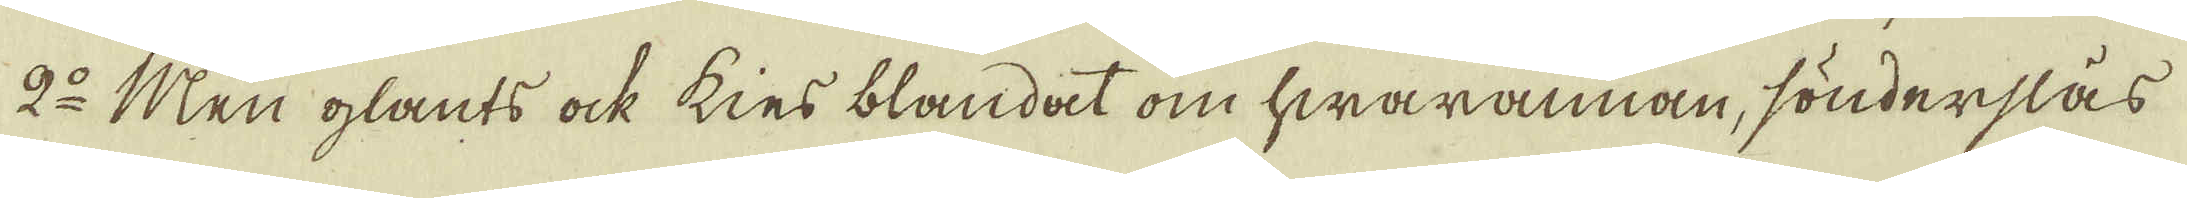2:o Men glants ock kies blandat om hwarannan, sönderslås
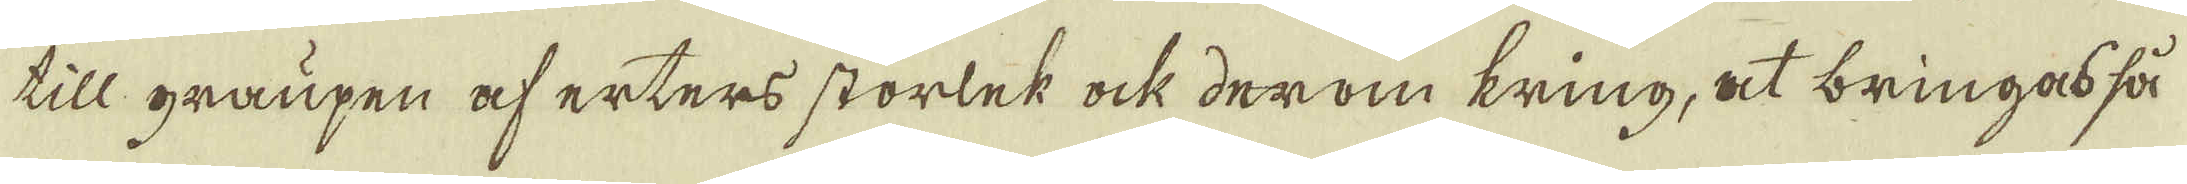till graupen af erters storlek ock derom kring, at bringas så
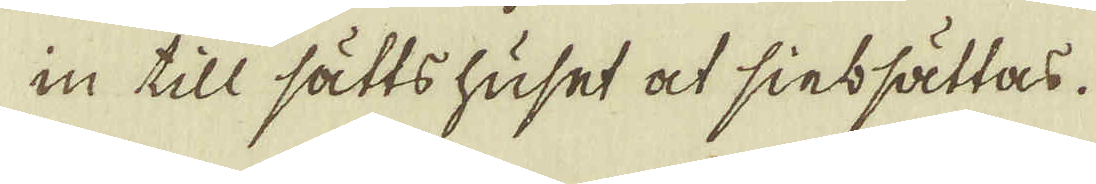in till sättshuset at sinssättas.
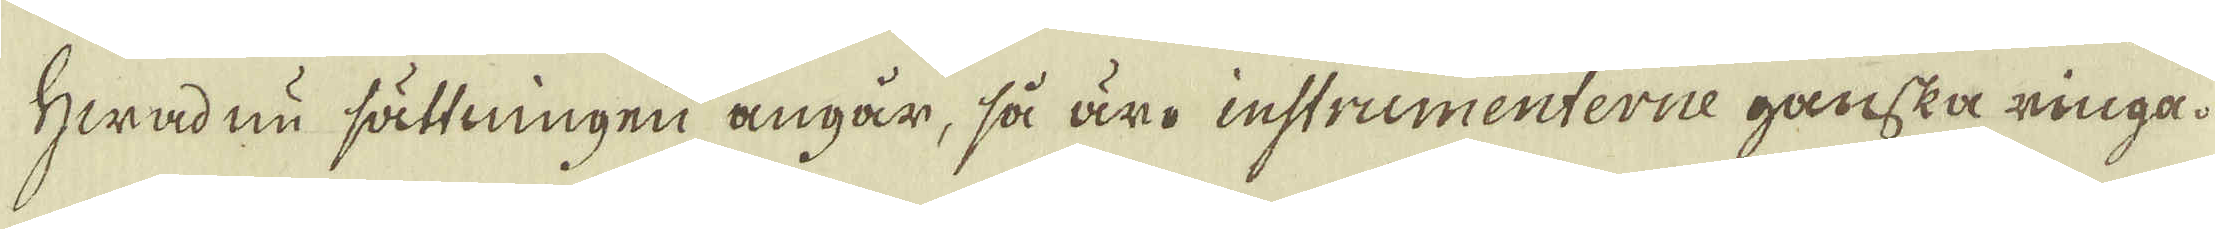Hwadnu sättningen angår, så äro instrumenterne ganska ringa.
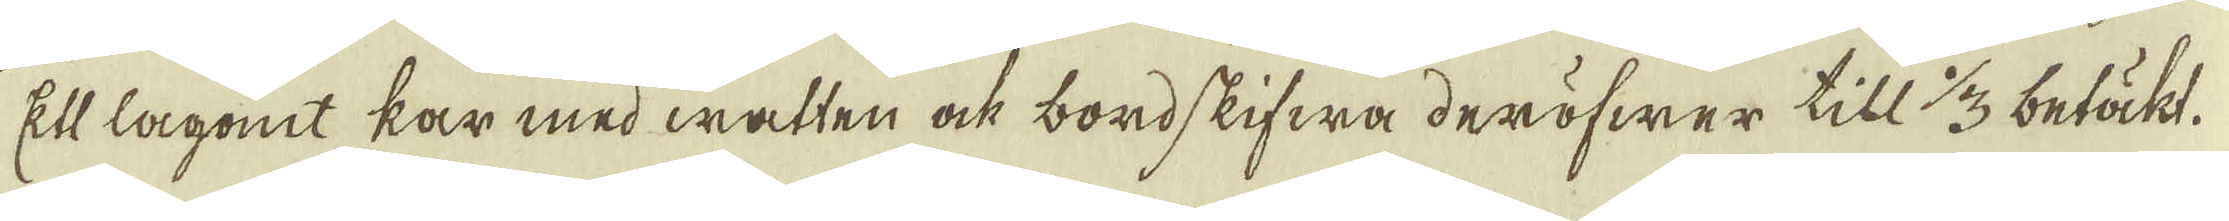Ett lagomt kar med watten ock bordskifwa deröfwer till 1/3 betäkt.
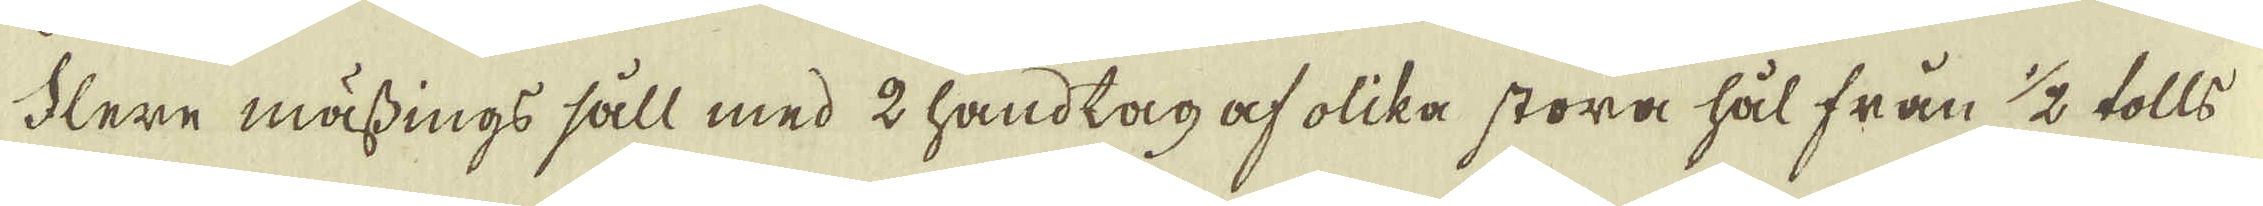Flere mässings såll med 2 handtag af olika stora hål från 1/2 tolls
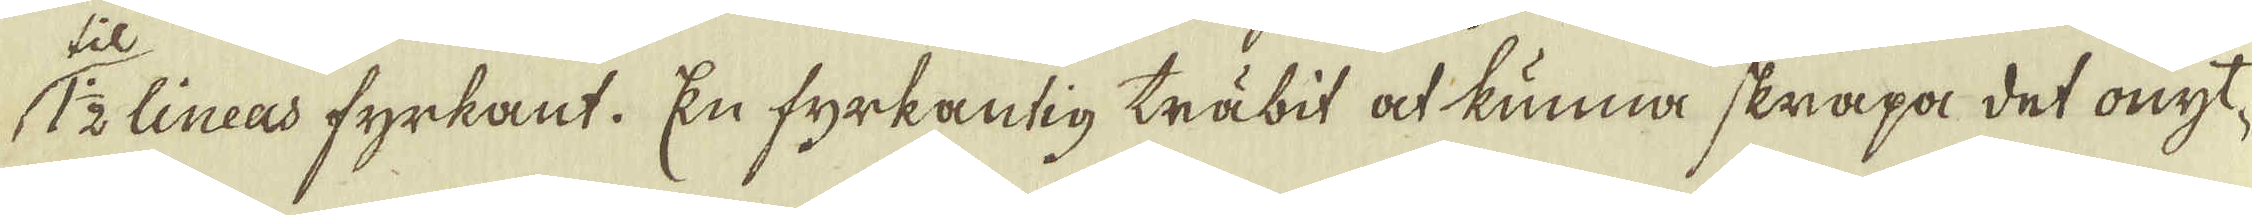till 1/2 lineas fyrkant. En fyrkantig träbit at kunna skrapa det onyt-
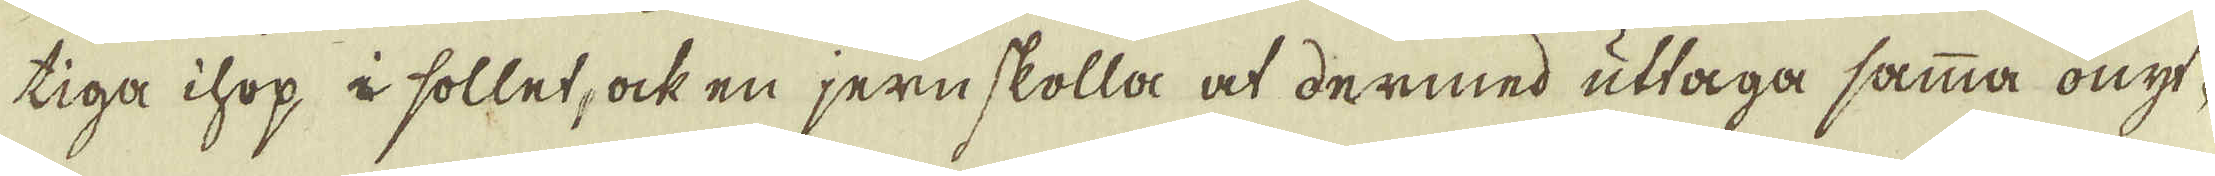tiga ihop i sollet, ock en jernskolla at dermed uttaga samma onyt-
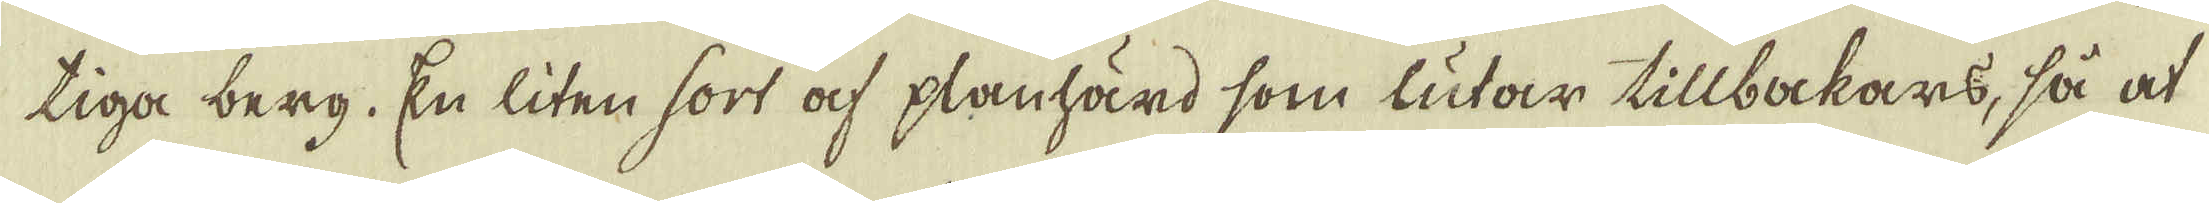tiga berg. En liten sort af planhärd som lutar tillbakars, så at
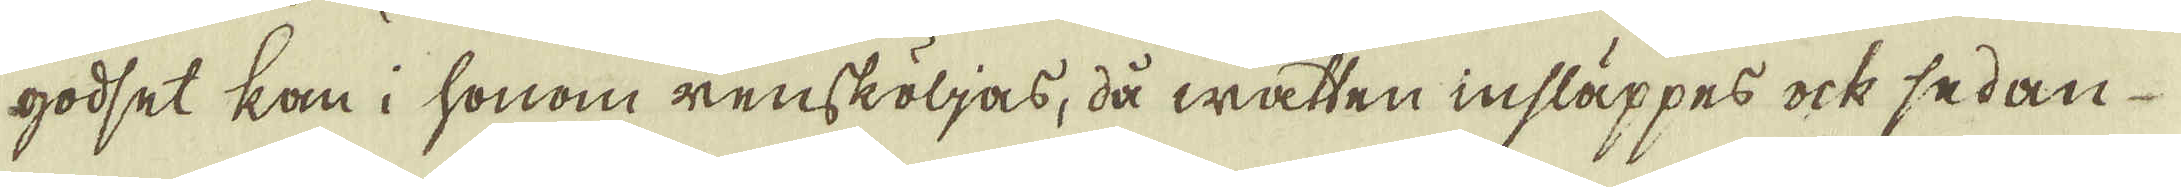godset kan i honom rensköljas, då watten insläppes ock sedan
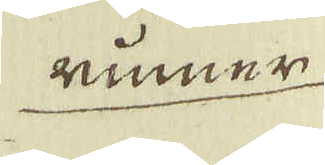rimmer
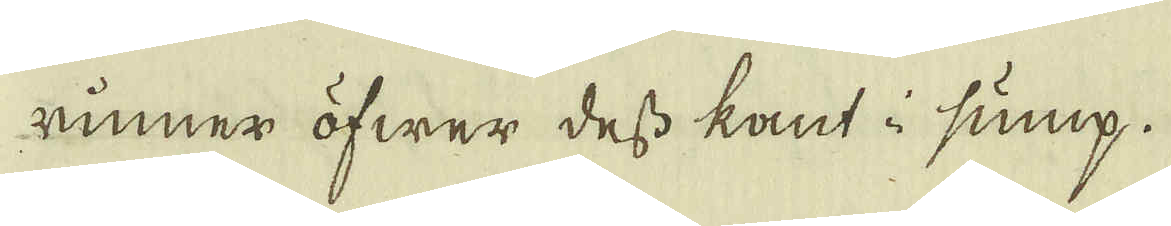rinner öfwer dess kant i sump.
